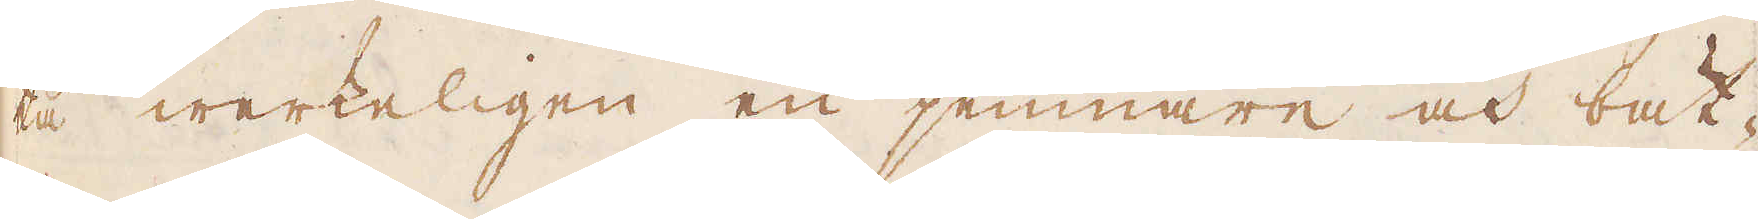ta werkeligen en jemnare och bät-
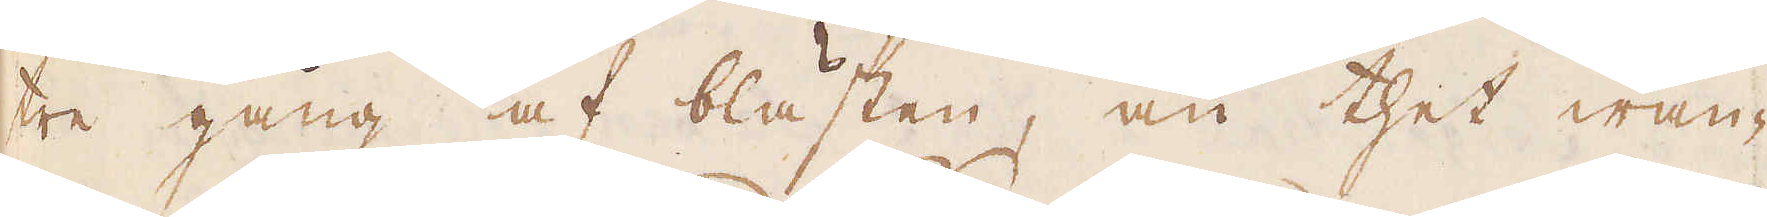re gång af blästen, än thet wan-
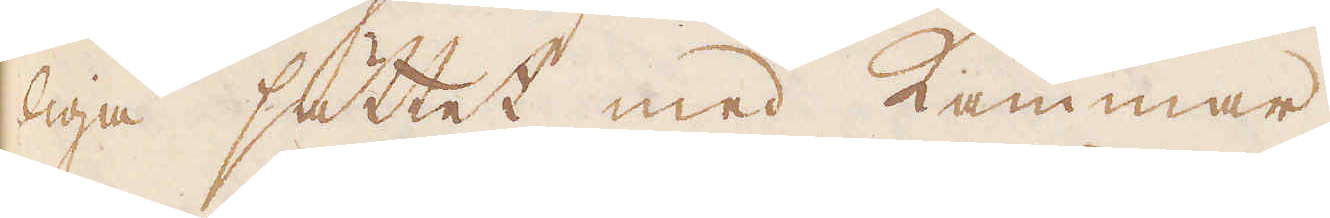liga sättet med Kammar.
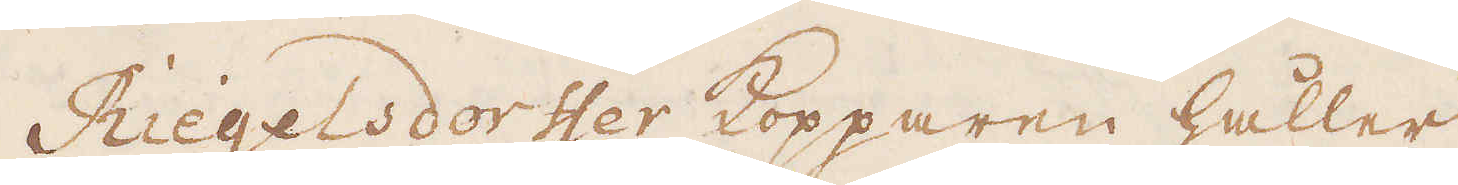Riegelsdorffer Kopparen håller
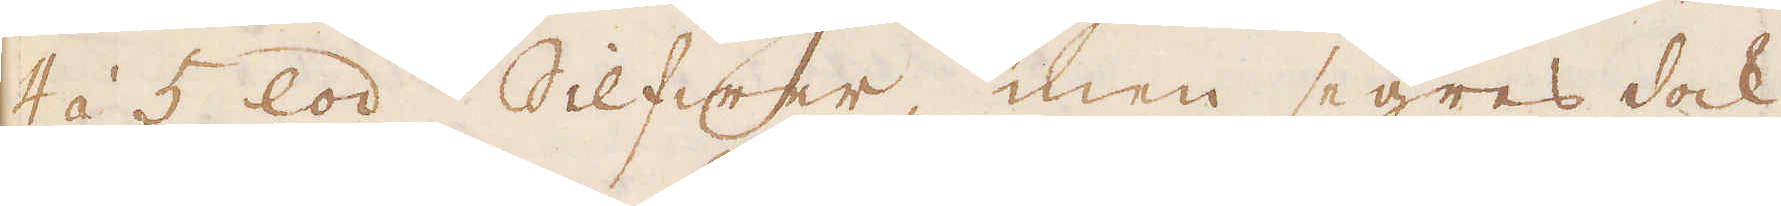4 á 5 lod Silfwer, men segres dock
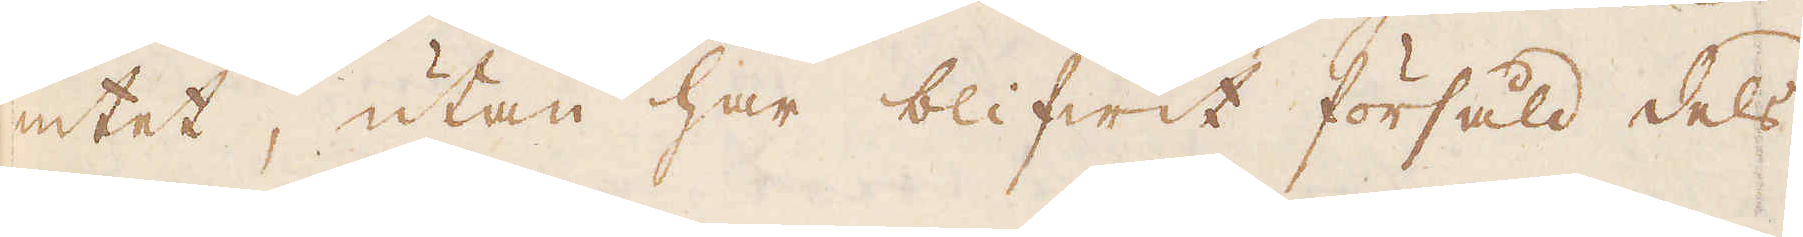intet, utan har blifwit försåld dels
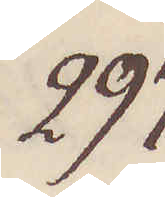297.
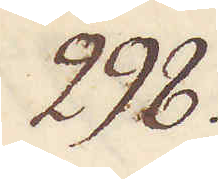298.
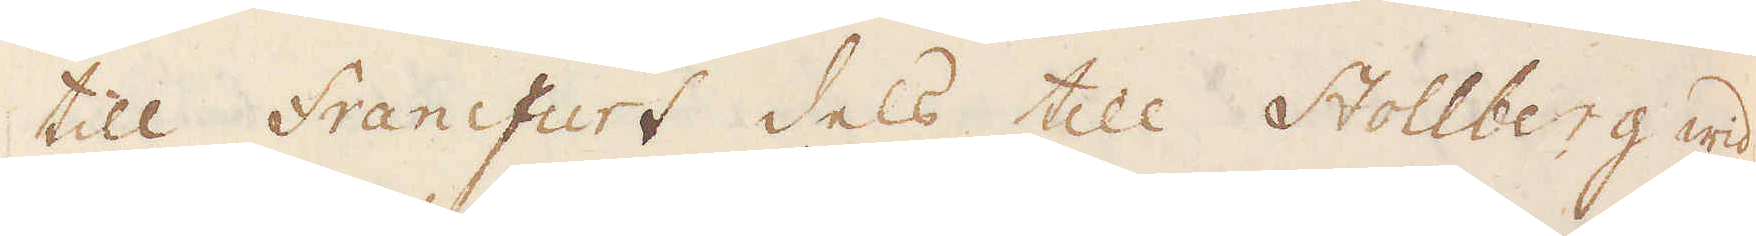till Francfurt dels till Stollberg wid
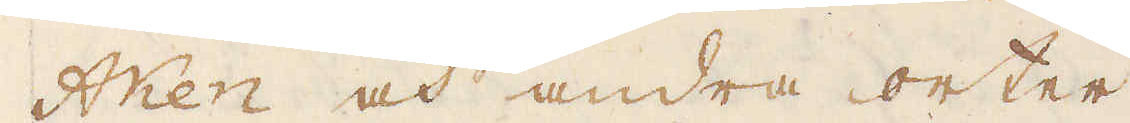Aken och andra orter.
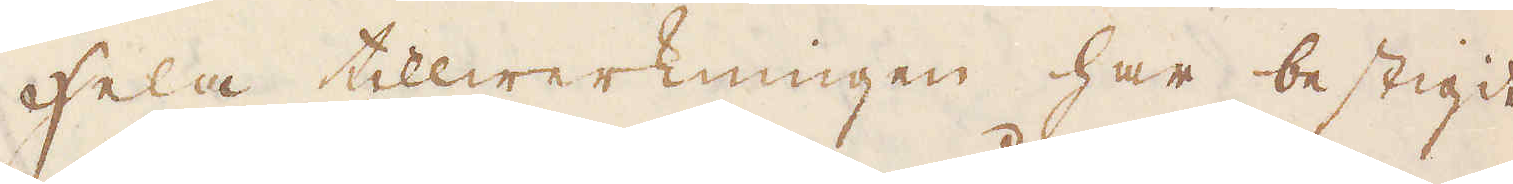Hela tillwerkningen har bestigit
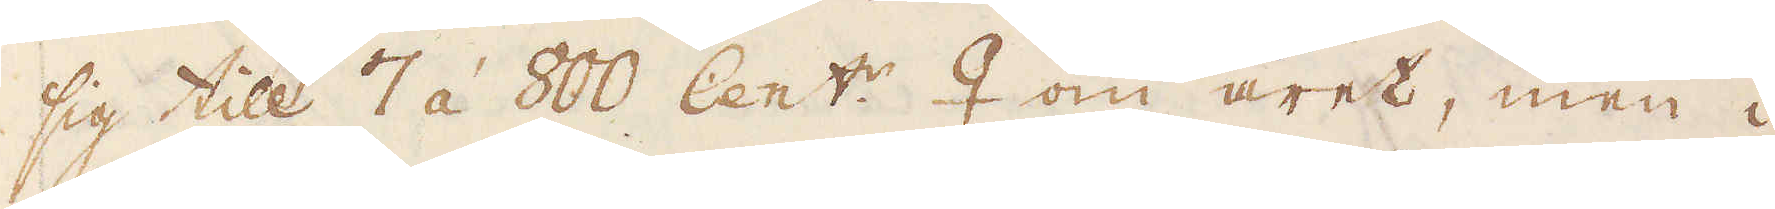sig till 7 á 800 Cent:r ♀ om året, men i
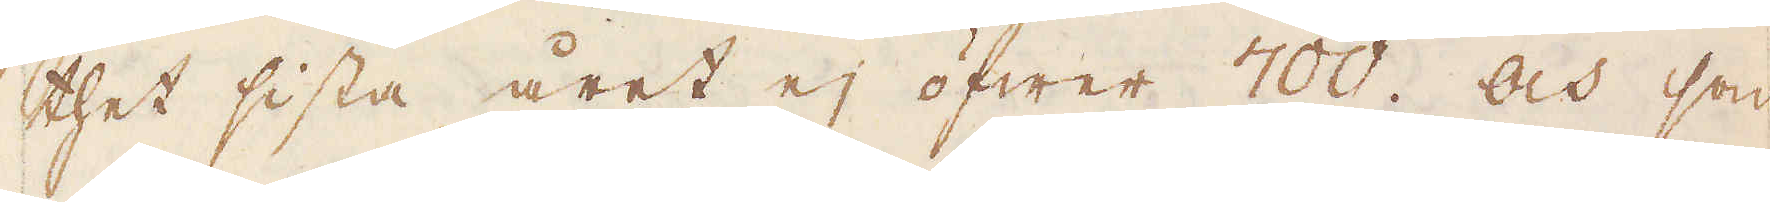thet sista året ej öfwer 700. Och som
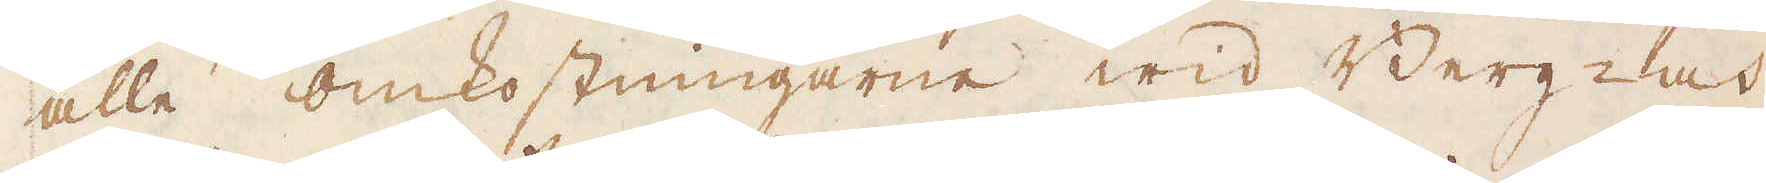alle omkostningarne wid Berg- och
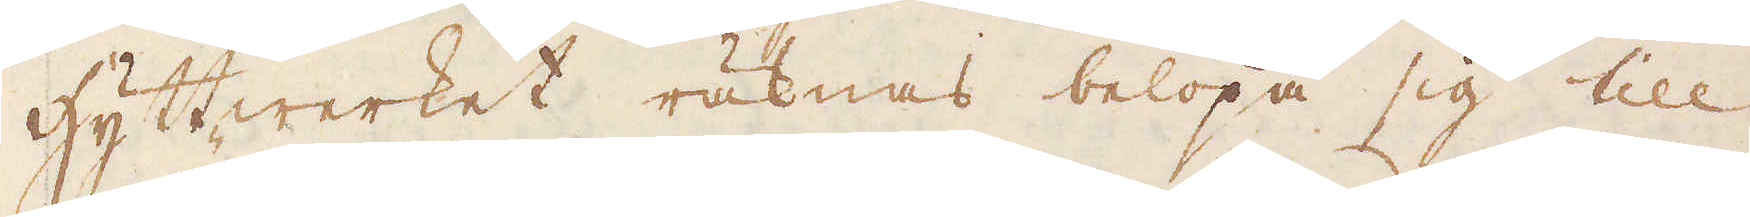Hyttwerket räknas belöpa sig till
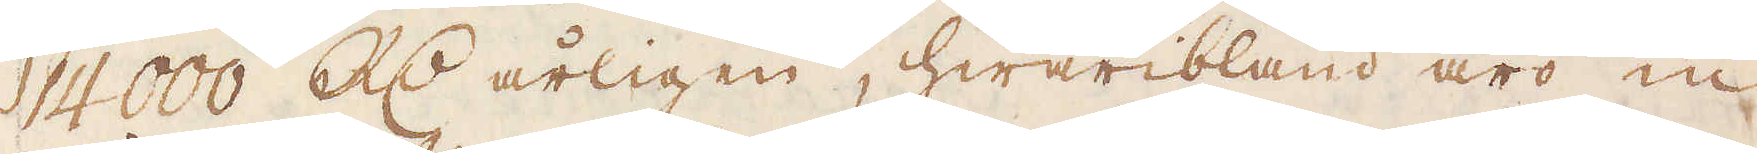14000 R:dr årligen, hwaribland äro in-
